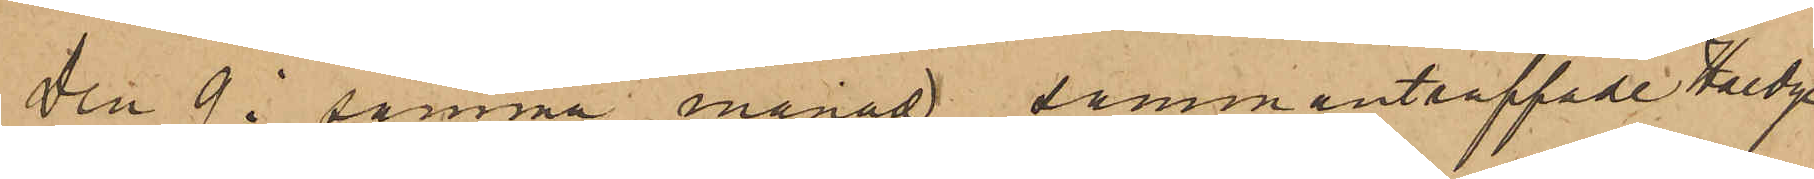Den 9 i samma månad sammanträffade Haedge
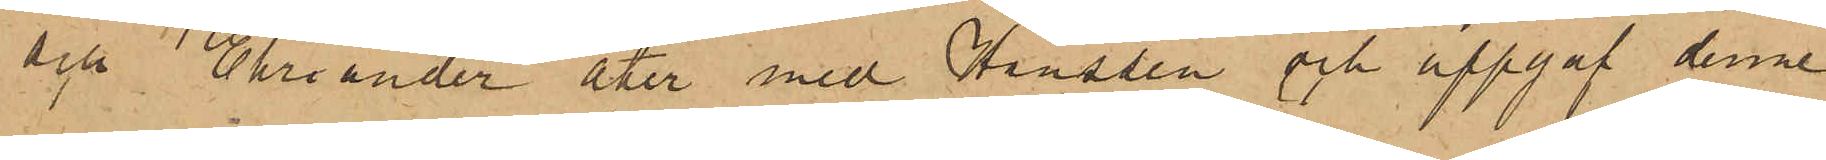och Ehriander åter med Hanssen och uppgaf denne
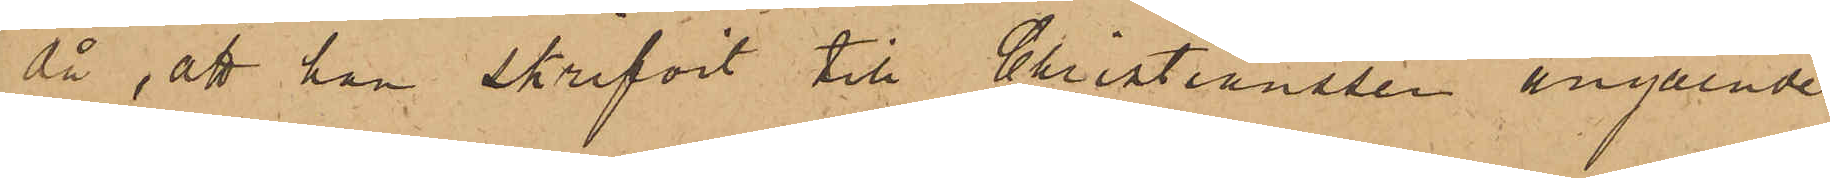då, att han skrifvit till Christianssen angående
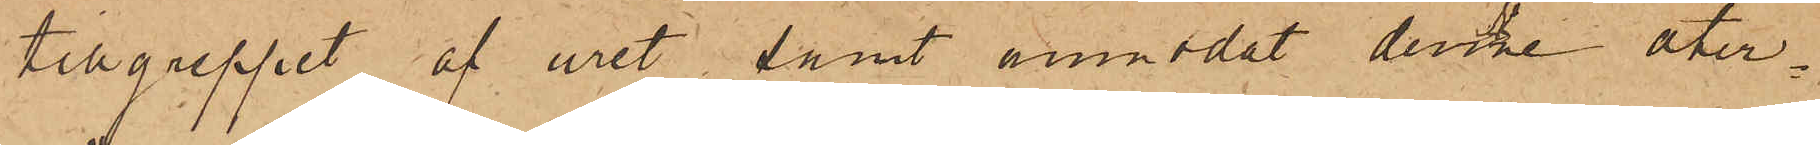tillgreppet af uret, samt anmodat denne åter¬
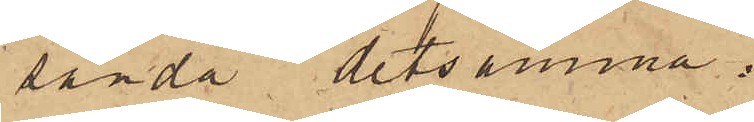sända detsamma.
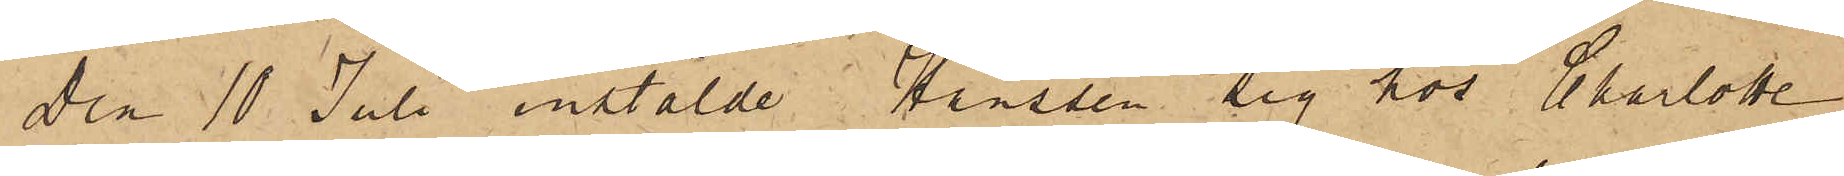Den 10 Juli instälde Hanssen sig hos Charlotte
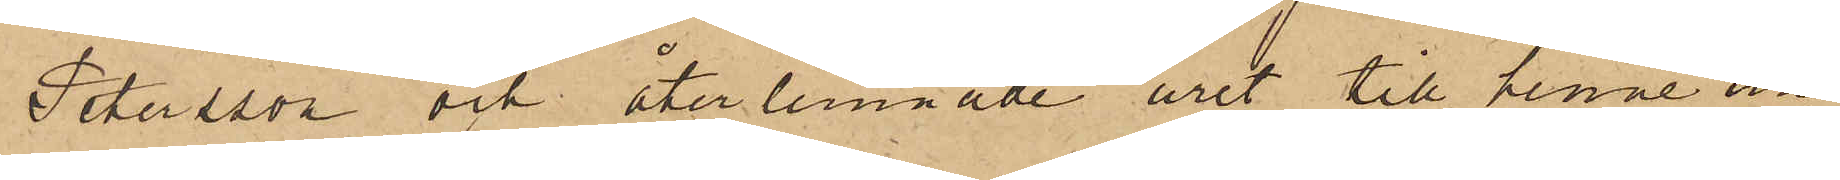Petersson och återlemnade uret till henne un¬
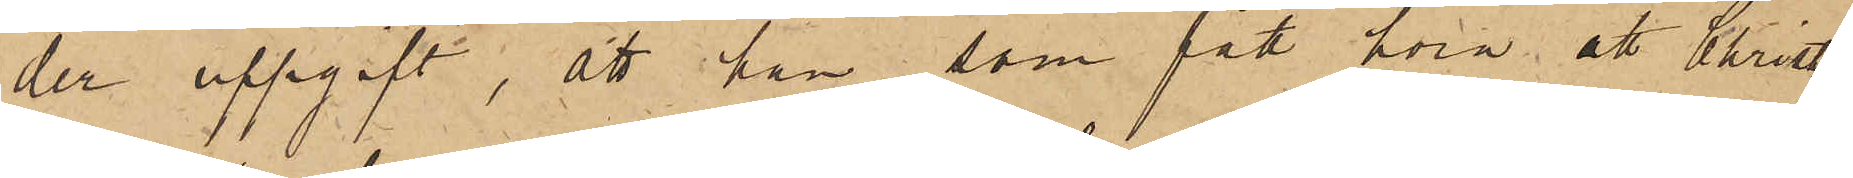der uppgift, att han, som fått föra; att Christian¬
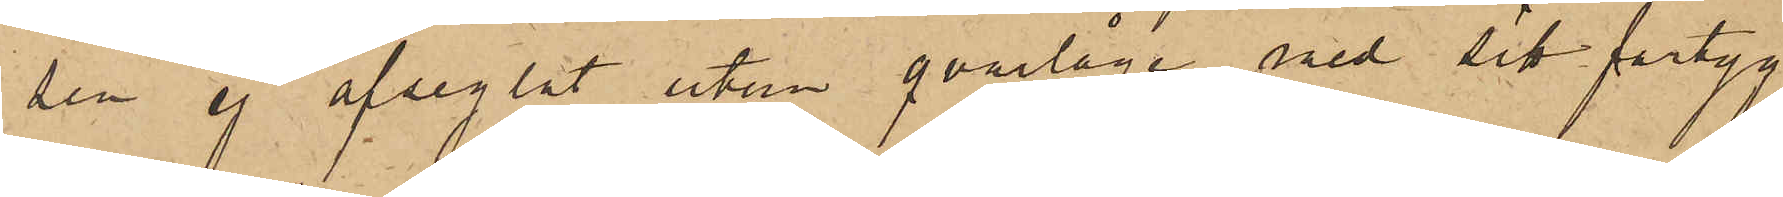sen ej afseglat utan qvarlåge med sitt fartyg
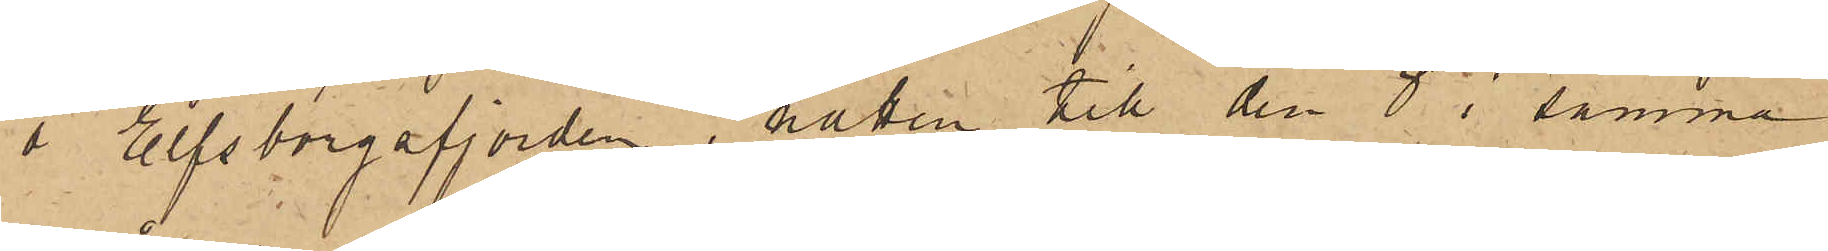i Elfsborgsfjorden, natten till den 8 i samma
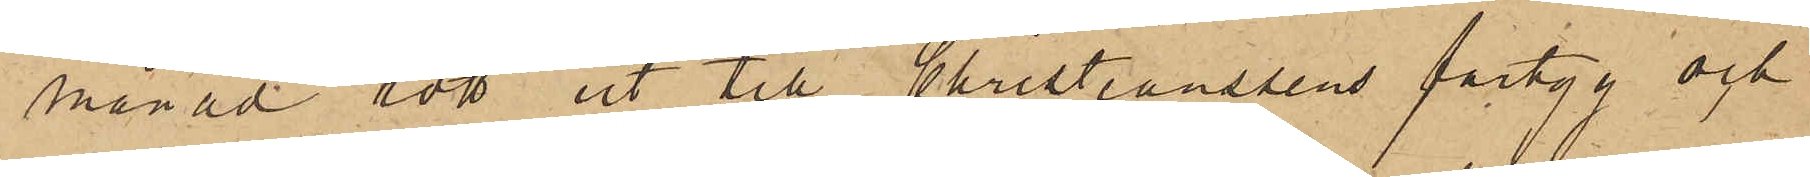månad rott ut till Christianssens fartyg och
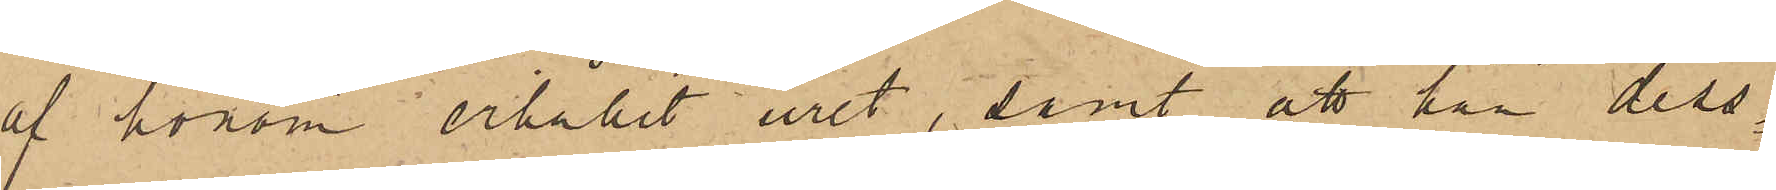af honom erhållit uret, samt att han dess¬
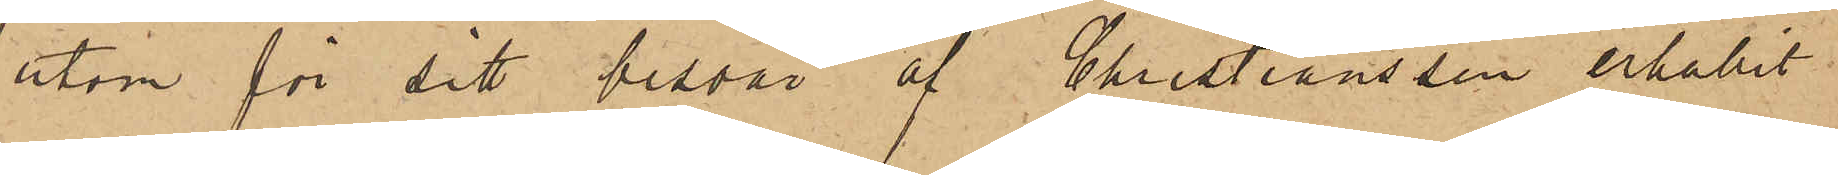utom för sitt besvär af Christiansson erhållit
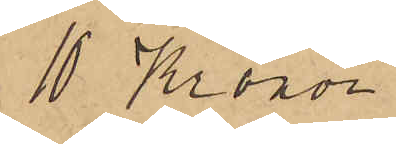10 Kronor.
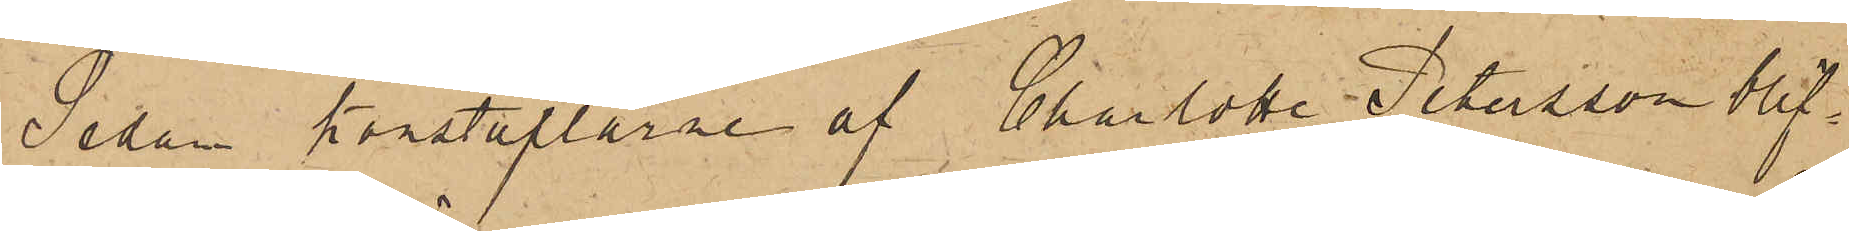Sedan konstaplarne af Charlotta Petersson blif¬
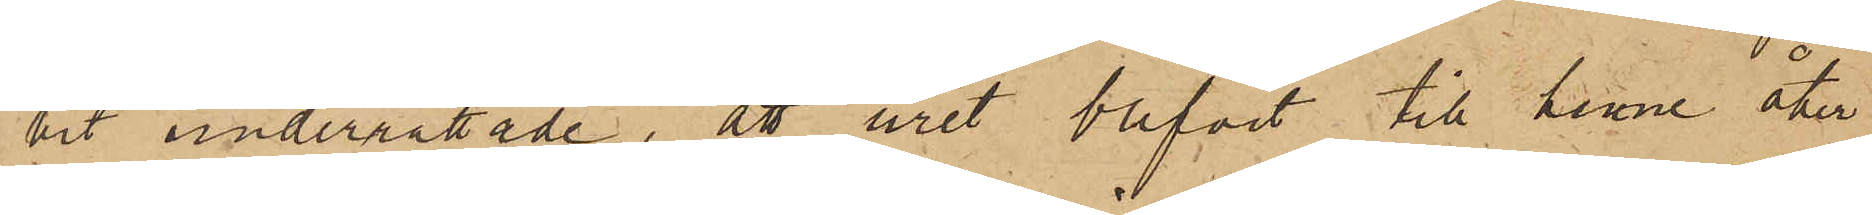vit underrättade, att uret blifvit till henne åter¬
